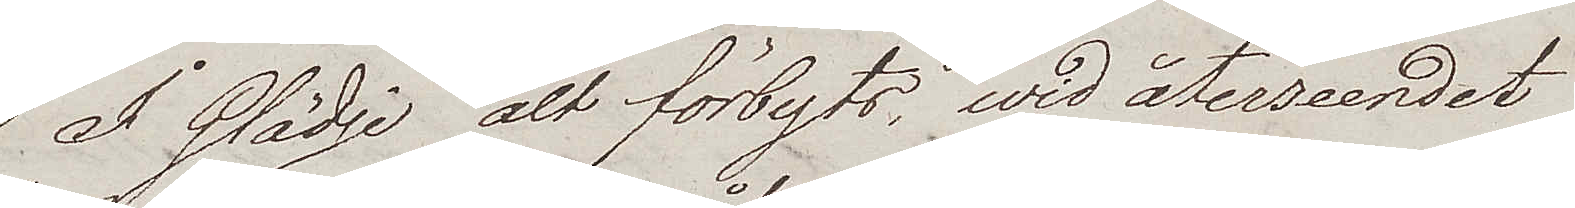I Glädje alt förbyts, wid återseendet
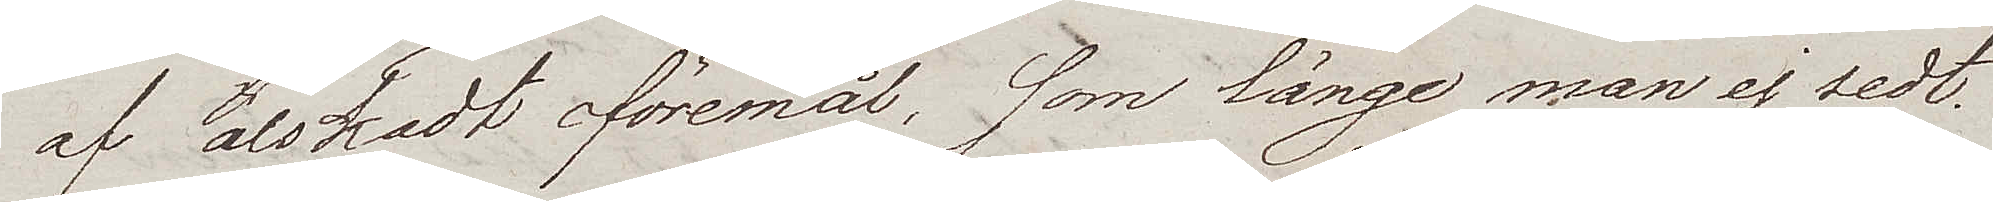af älskadt föremål, som länge man ej sedt.
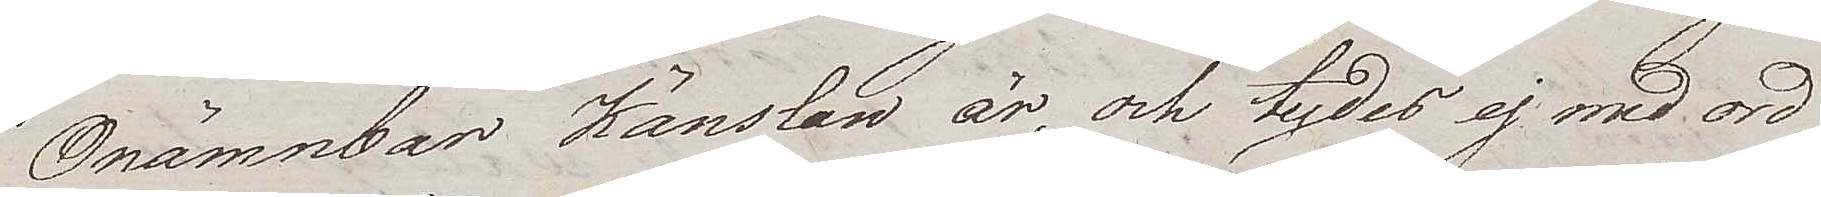Onämnbar Känslan är, och tydes ej med ord
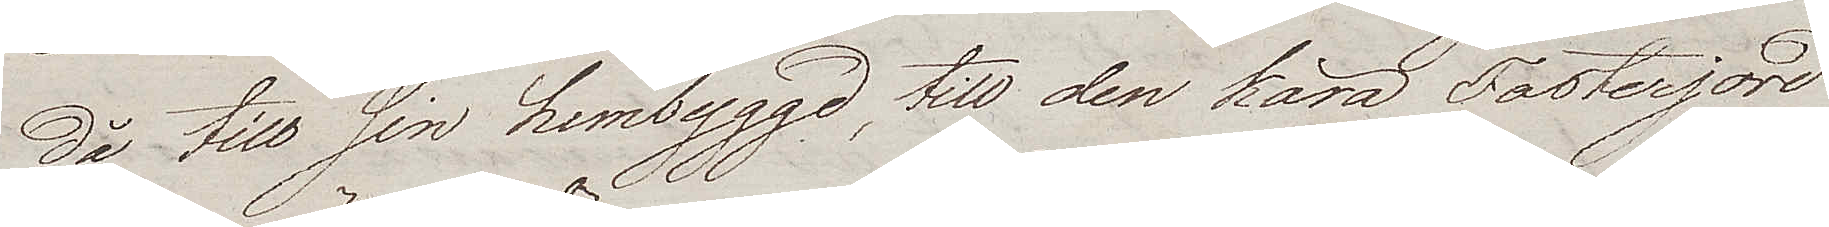då till sin hembyggd, till den kära Fosterjord
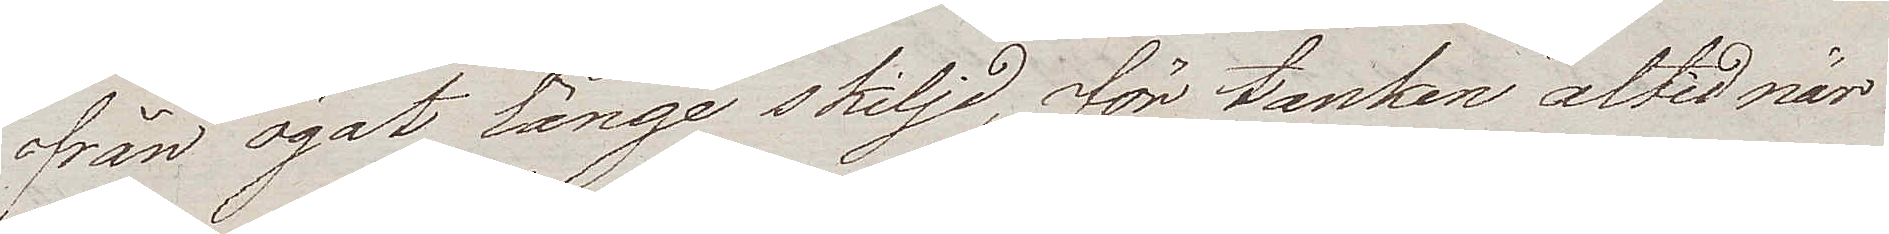från ögat länge skiljd, för tanken altid när
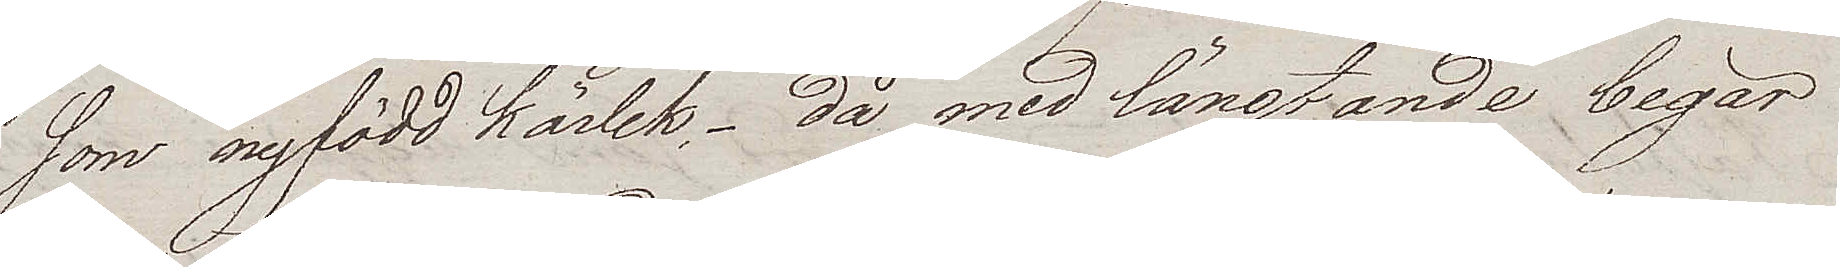som nyfödd kärlek, – då med längtande begär
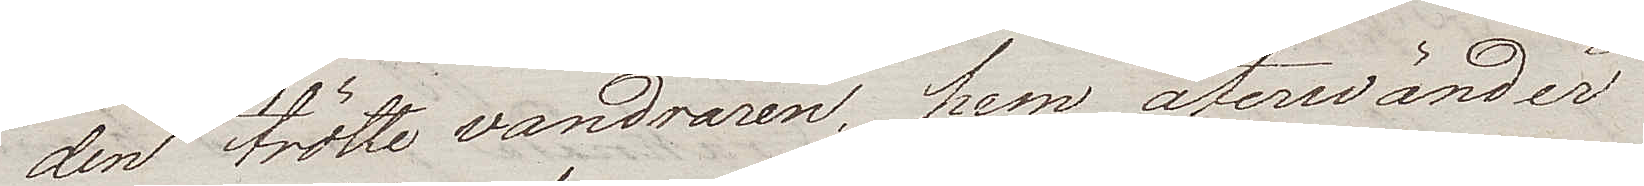den trötte vandraren, hem återwänder
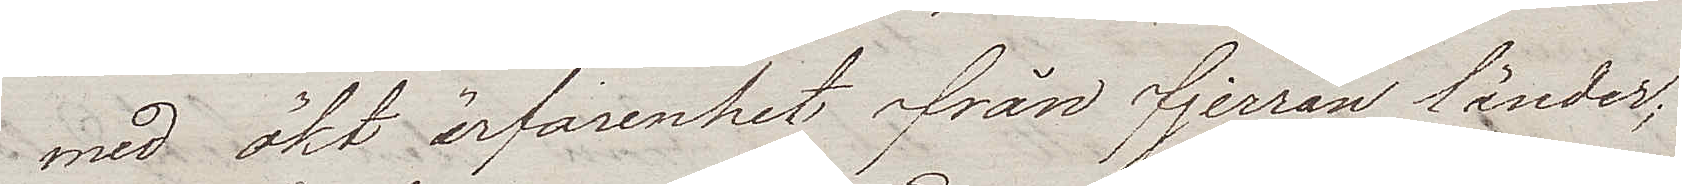med ökt ärfarenhet från fjerran länder;
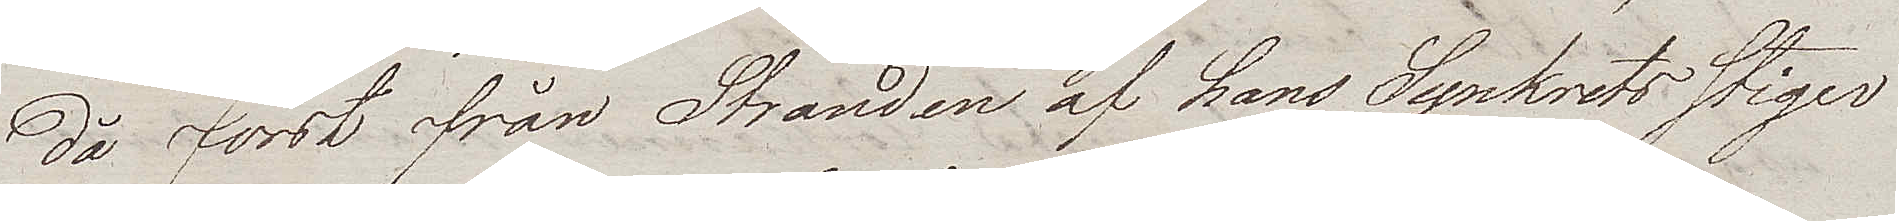då först från Stranden af hans Synkrets stiger
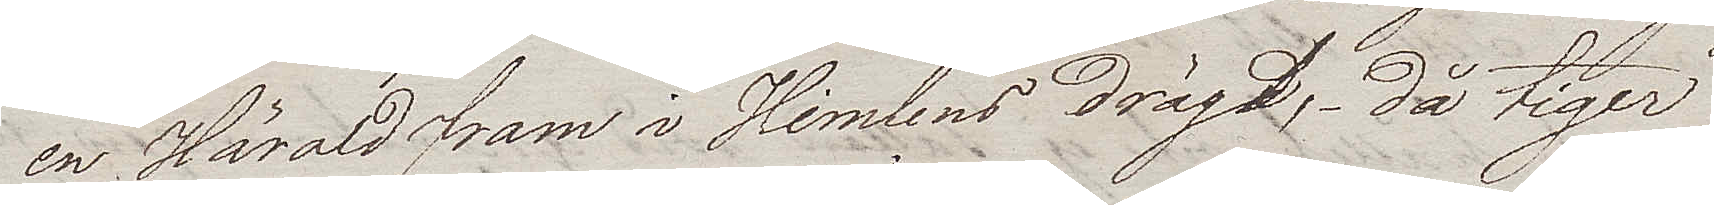en Härold fram i Himlens drägt, då tiger
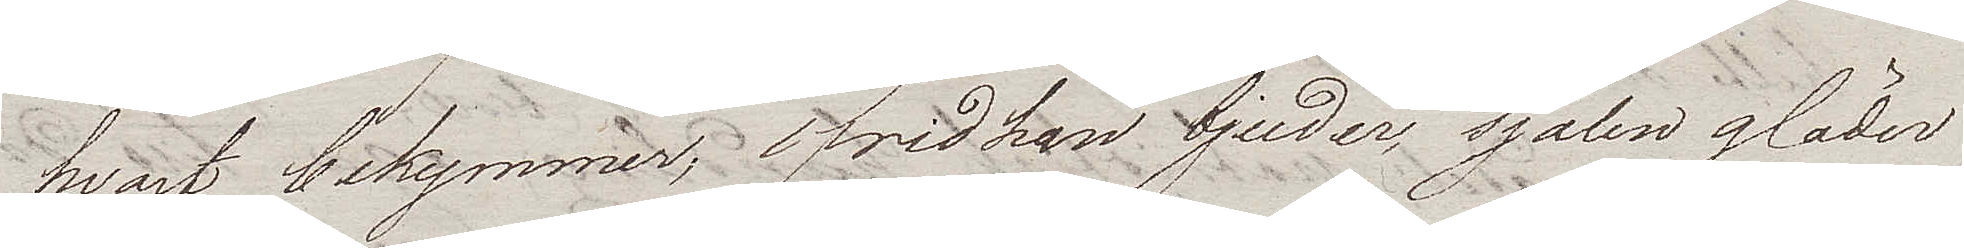hvart bekymmer, frid han bjuder själen gläder
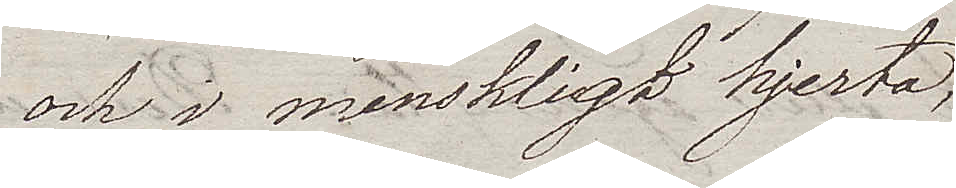och i menskligt hjerta,
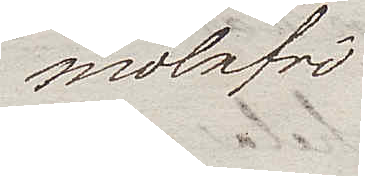molnfri
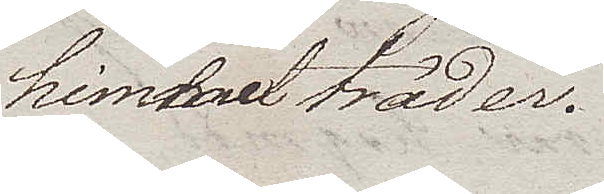himmel träder.
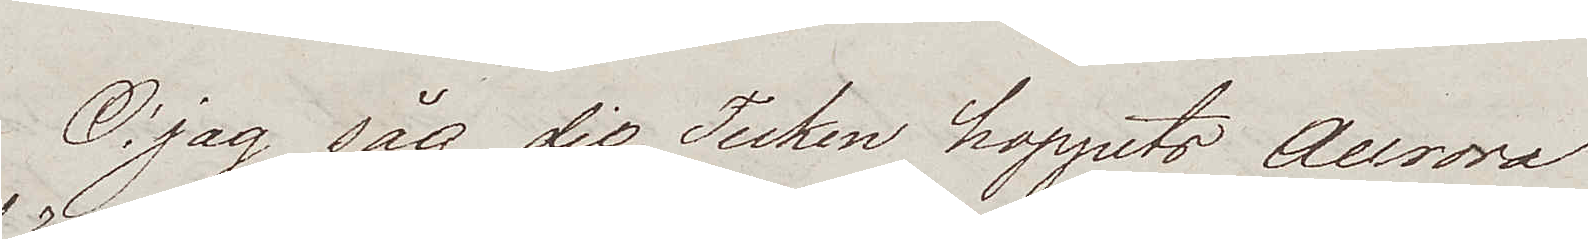O, jag såg dig Tecken hoppets Aurora
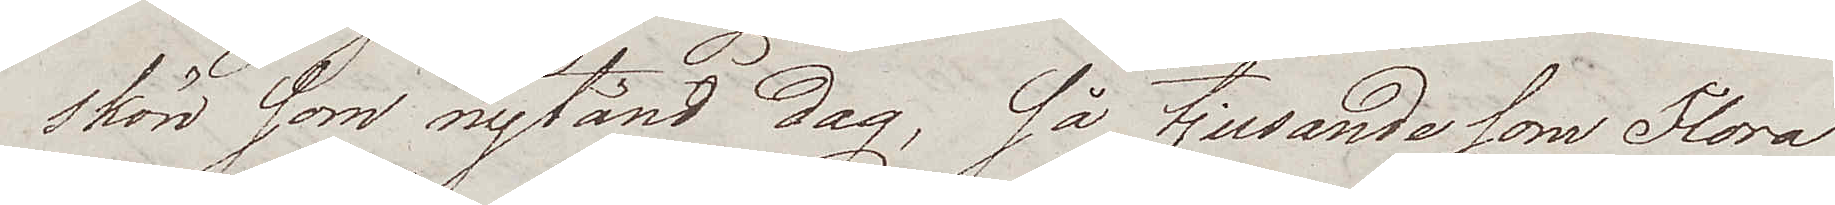skön som nytänd dag, så tjusande som Flora
